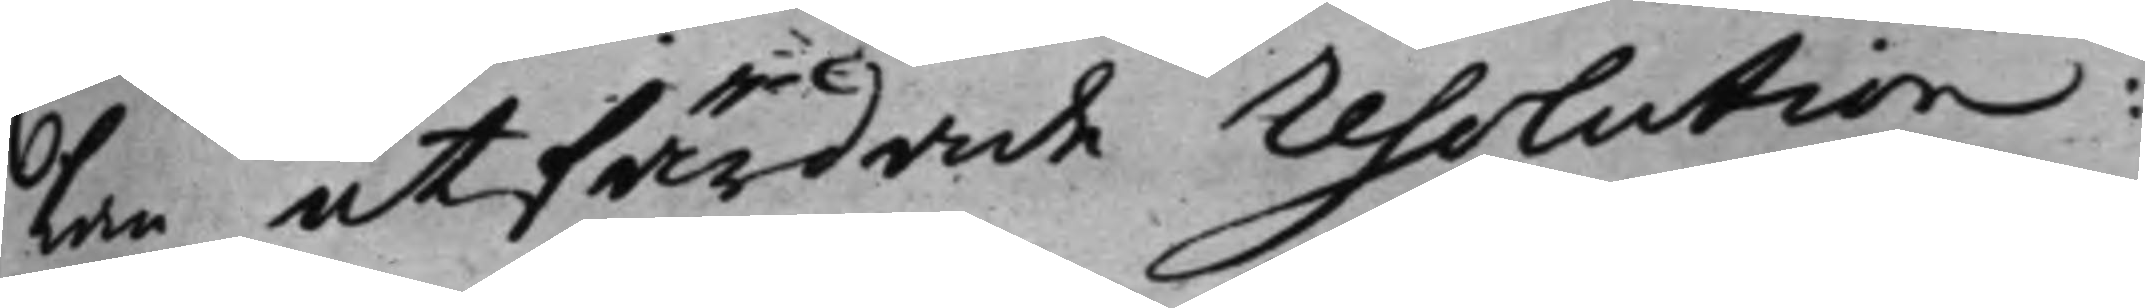lan utfärdade resolution:
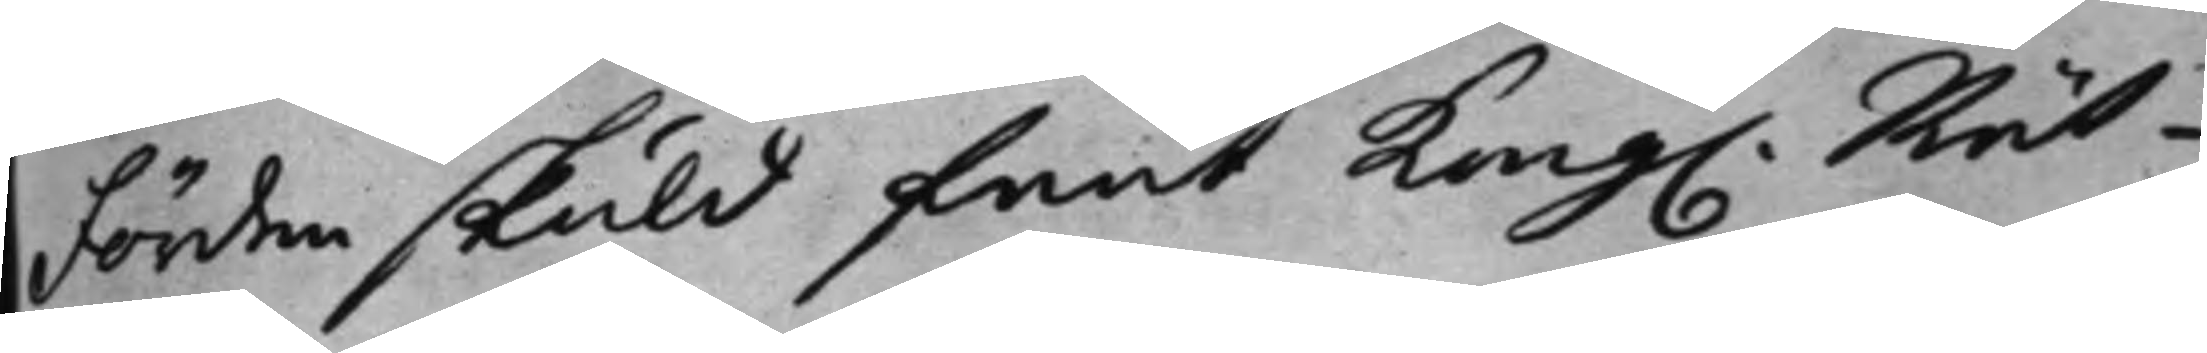Förden skuld fant Kong. Rät¬
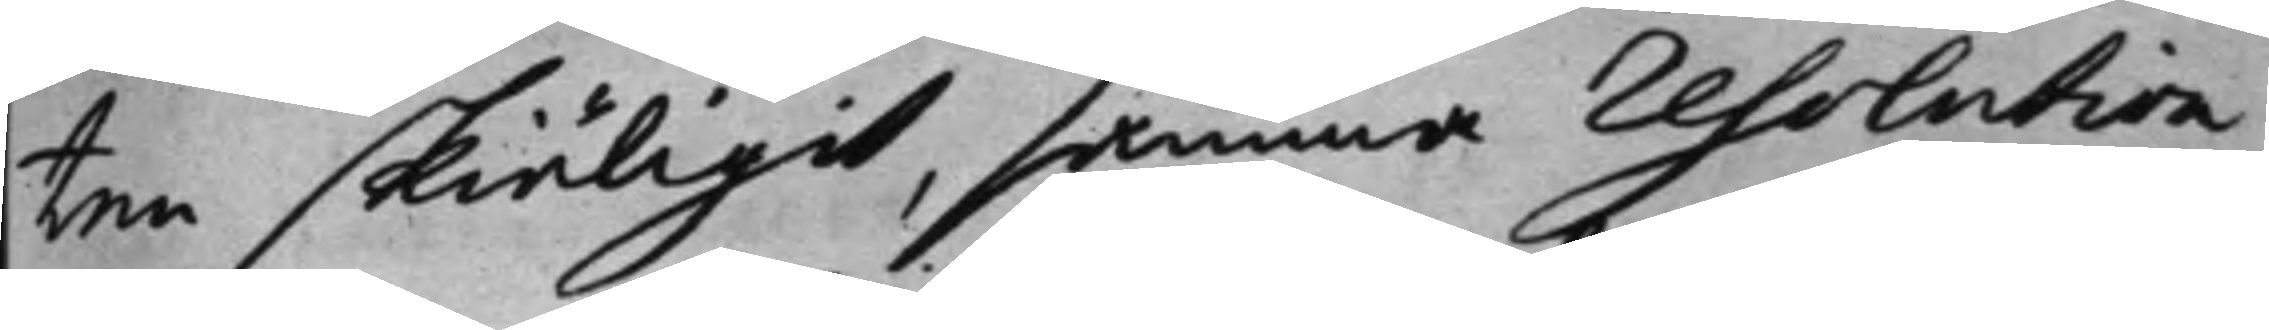ten skiäligit, samma resolution,
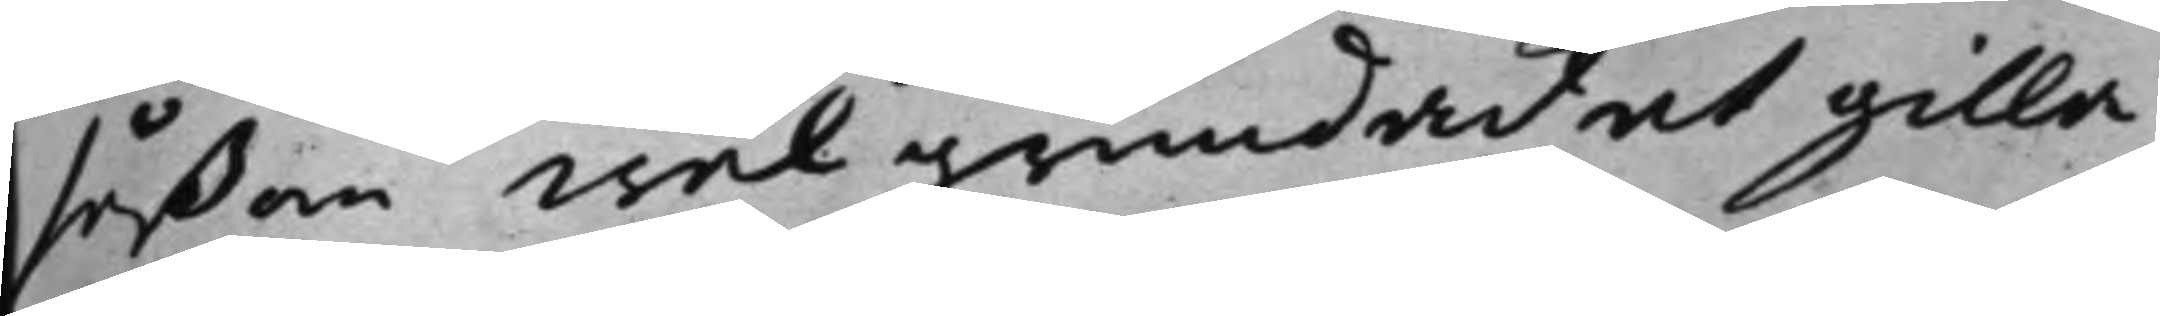såsom wälgrundad, at gilla
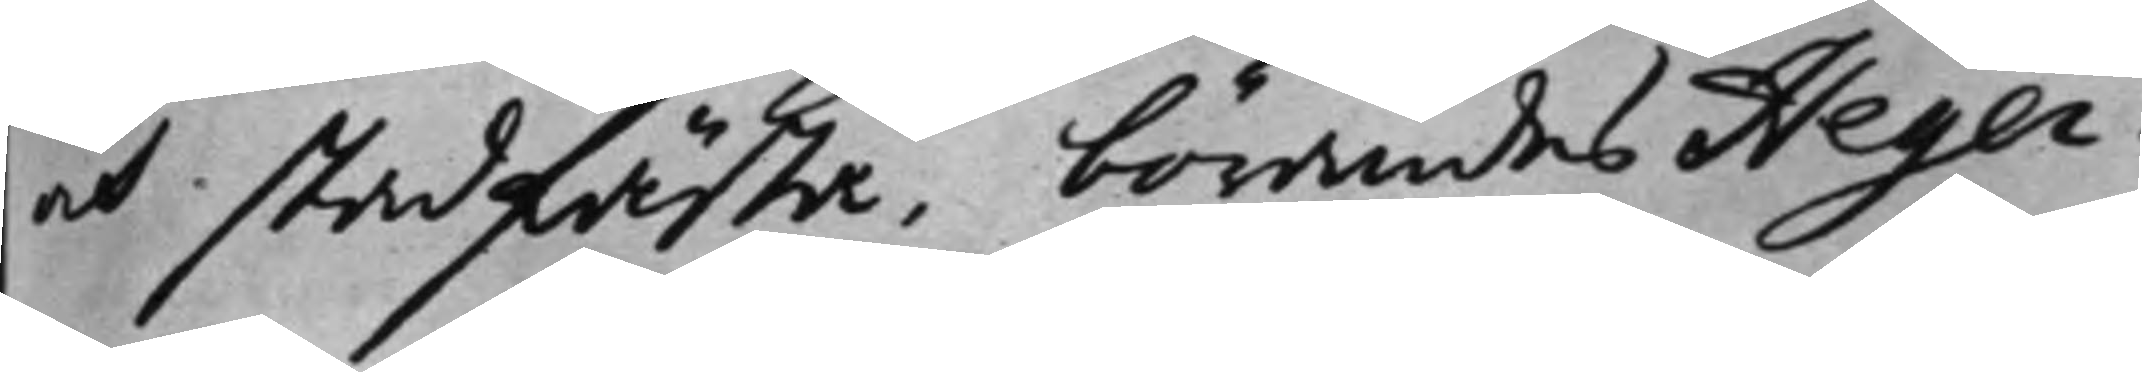och stadfästa, börandes Heger¬
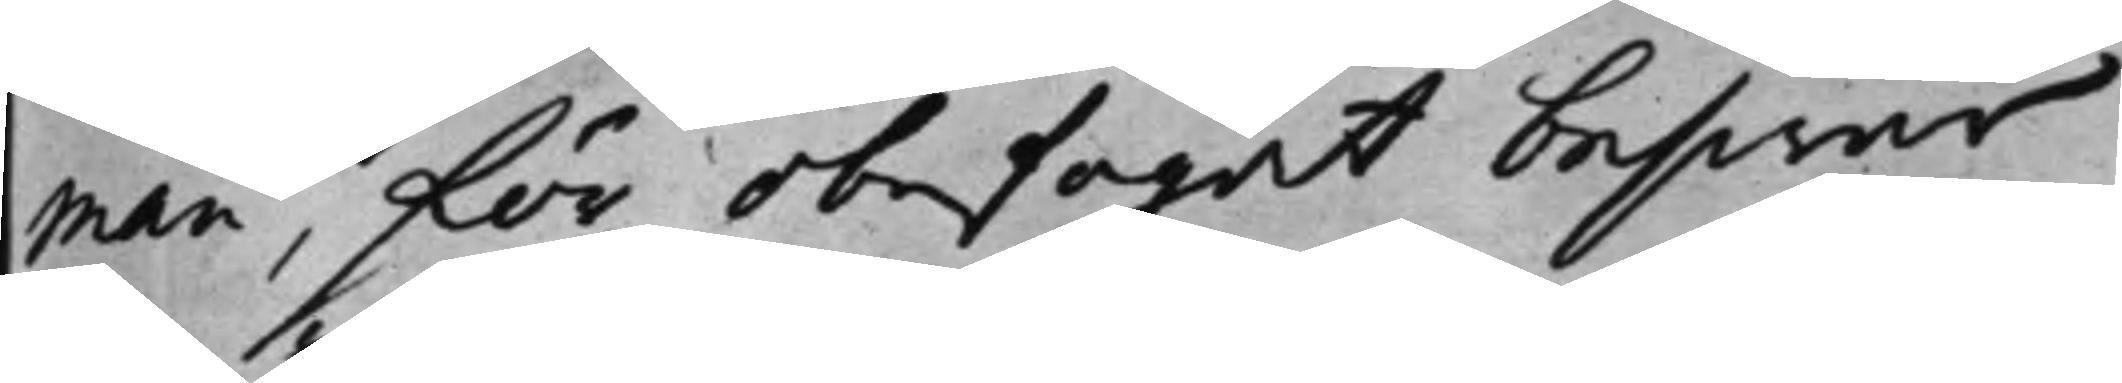man, för obefogat beswär
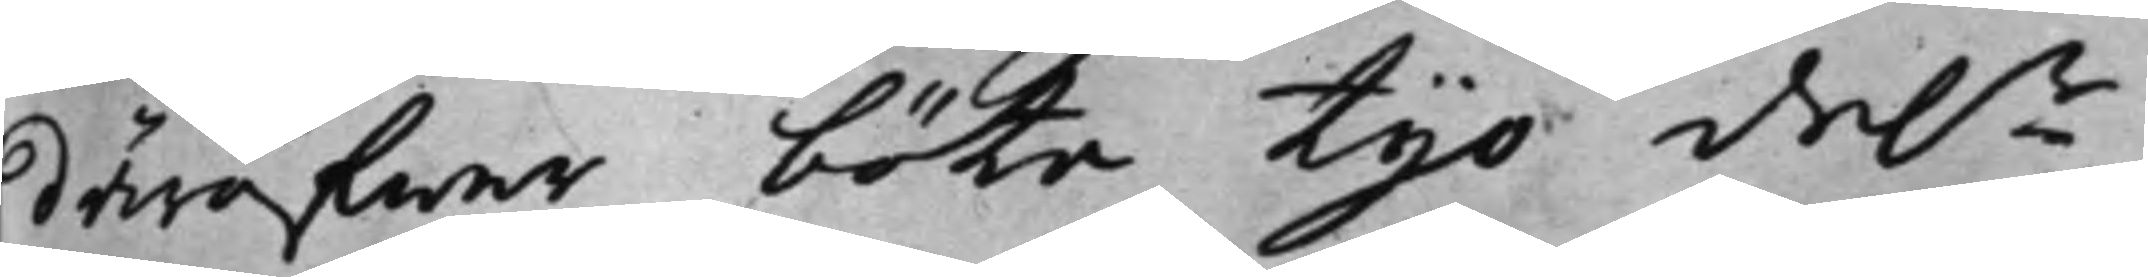däröfwer, böta tijo D.r
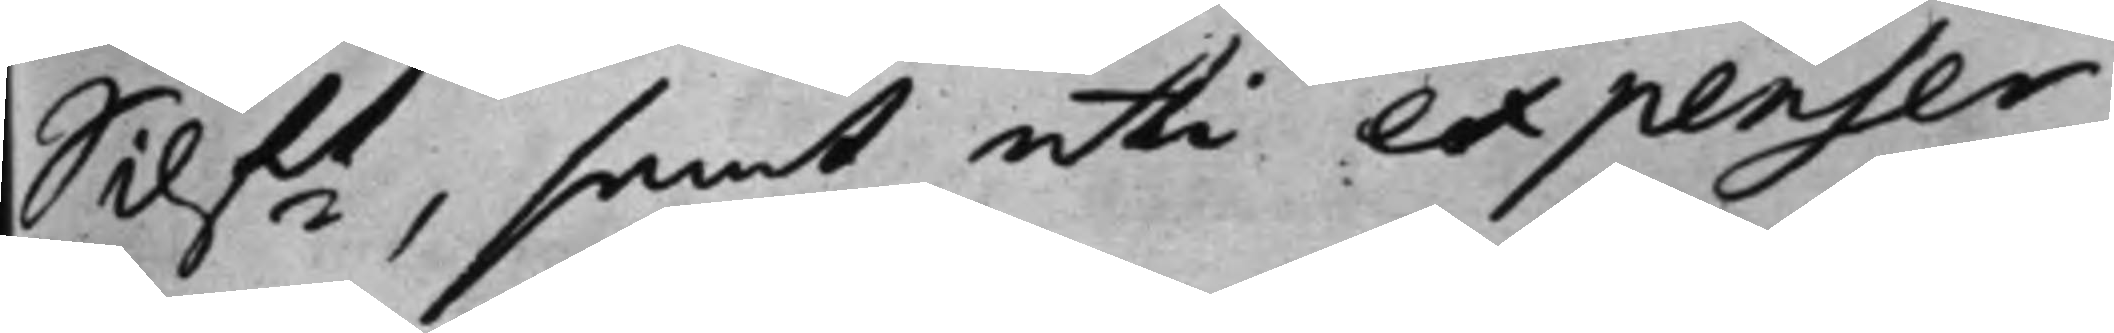Silft, samt uti expenser
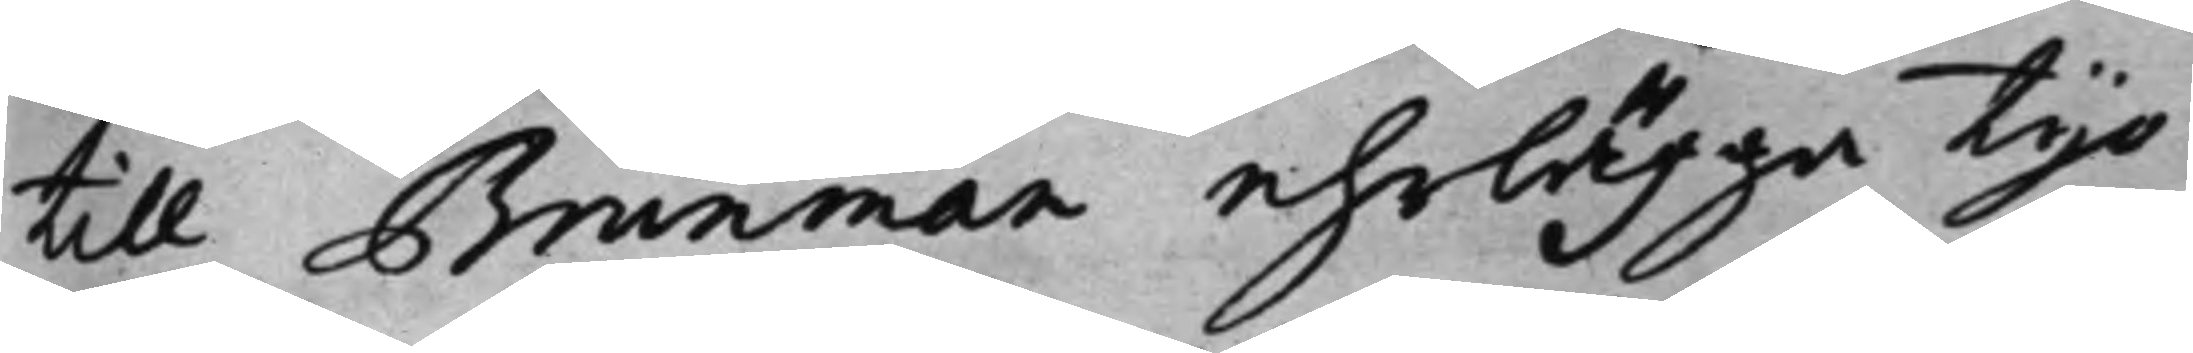till Brunman efrlägga tijo
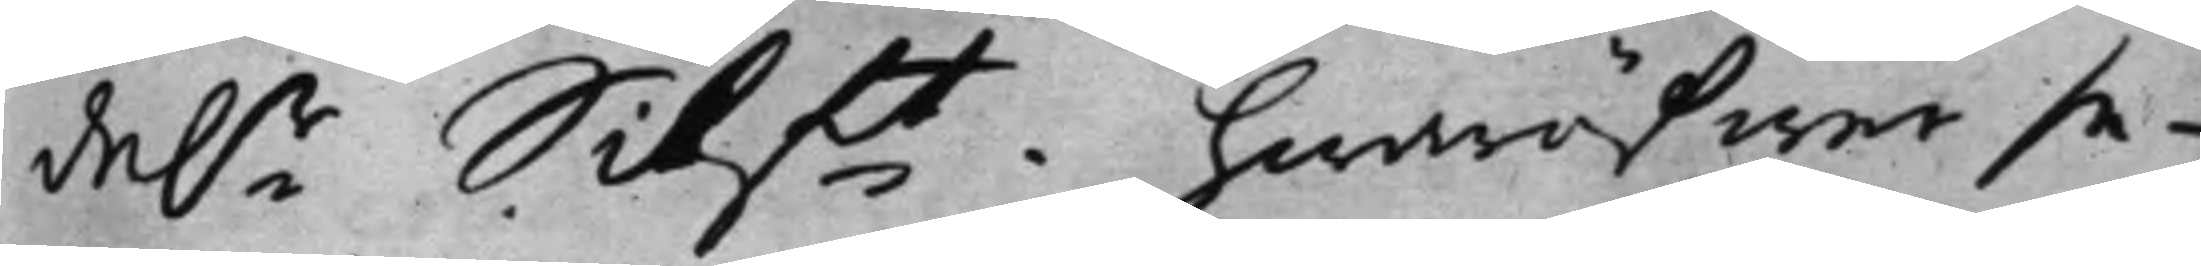D.r Silft. hwaröfwer se¬
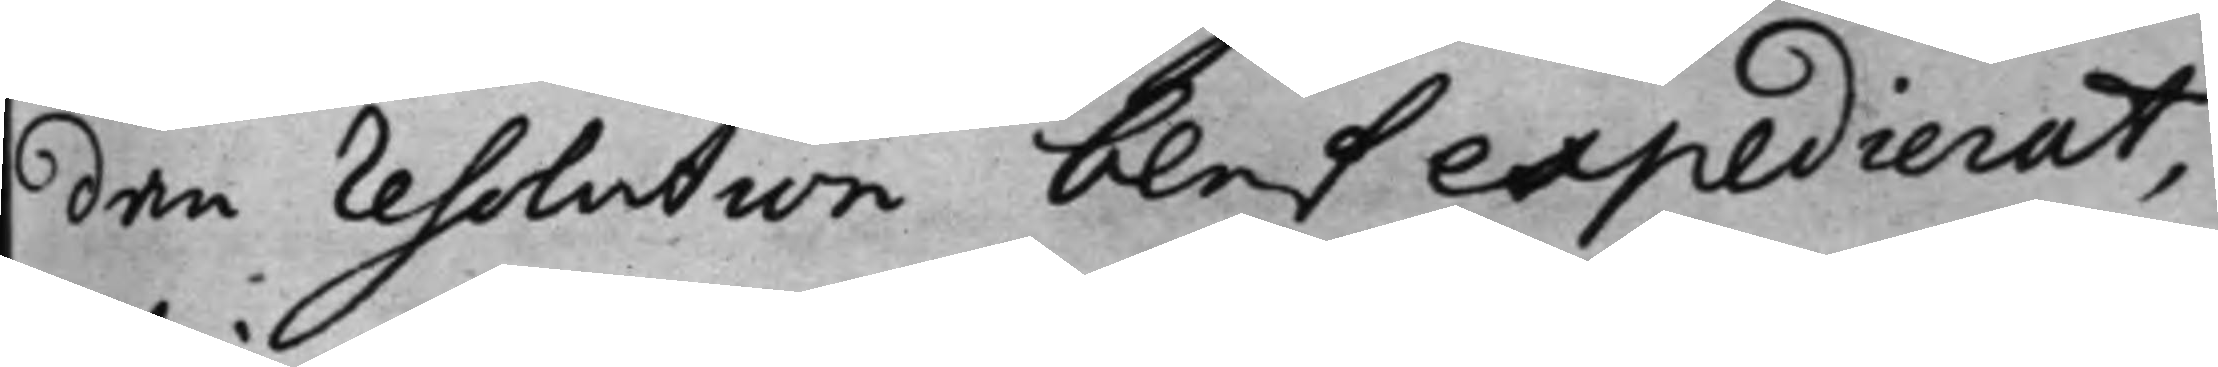dan resolution blef expedierat,
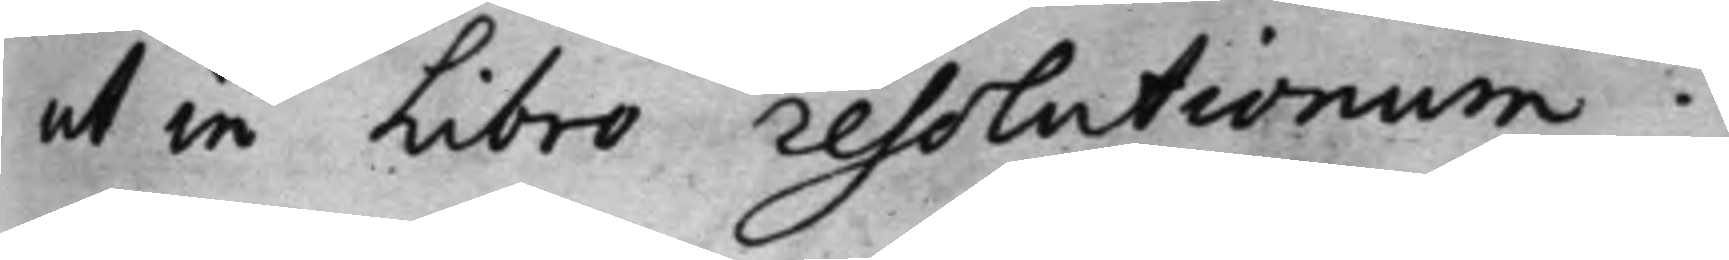ut in Libro resolutionum.
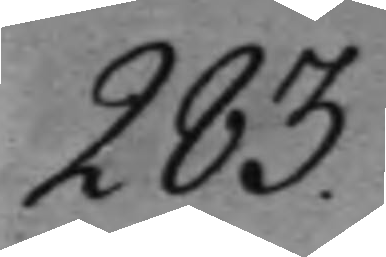283.
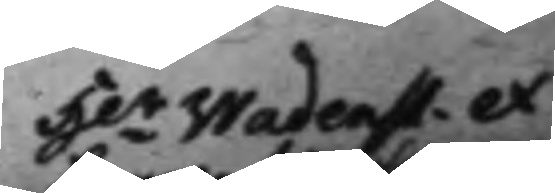H.r Wadenst. ex
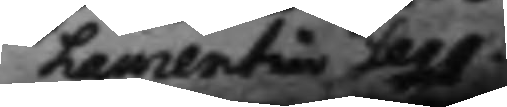Laurentius Segq.
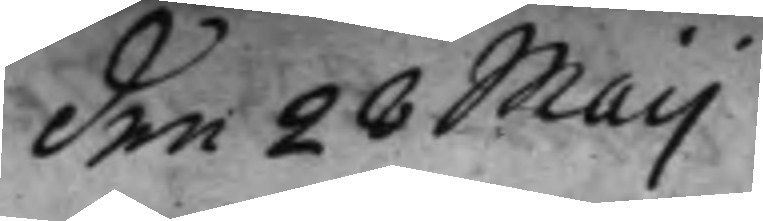den 28 Maij
